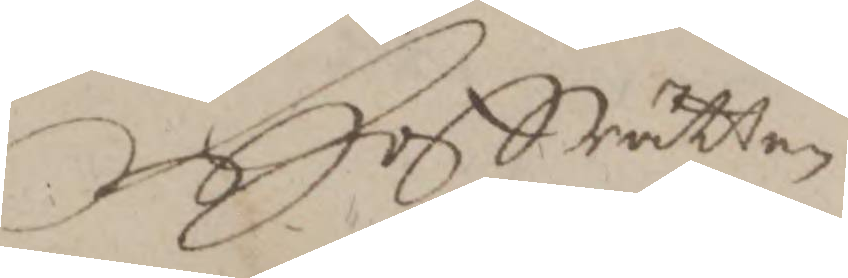Hoffrätten
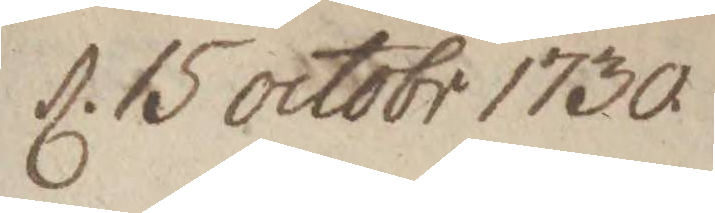d. 15 octobr 1730
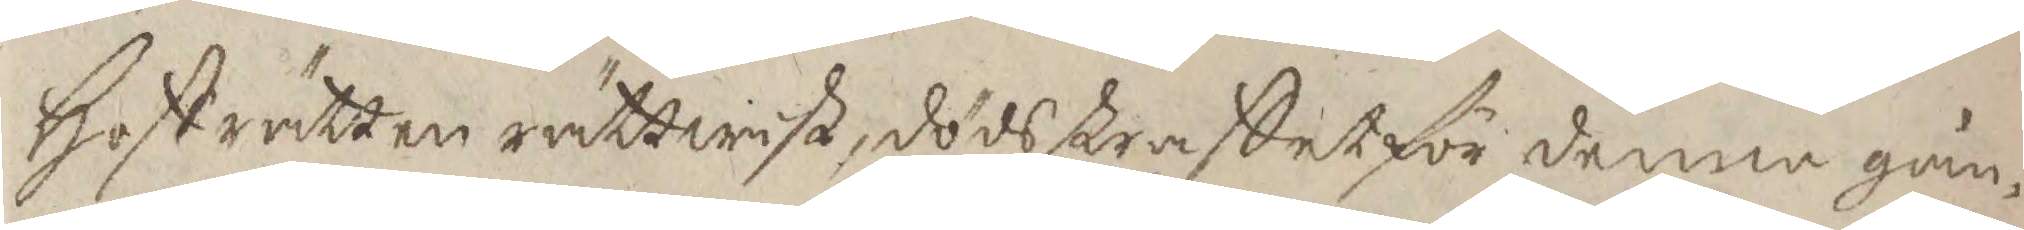Hofrätten rättwist, dödsstraffet för denne gån¬
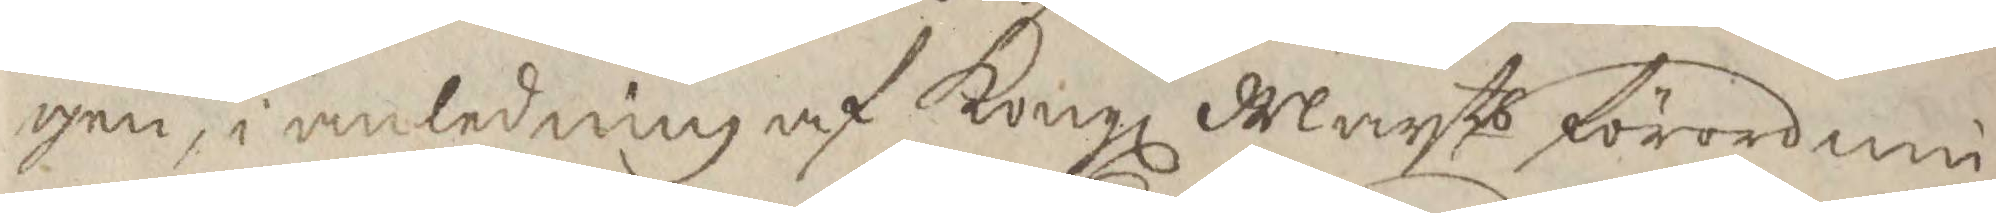gen, i anledning af Kongl Maytts förordni¬
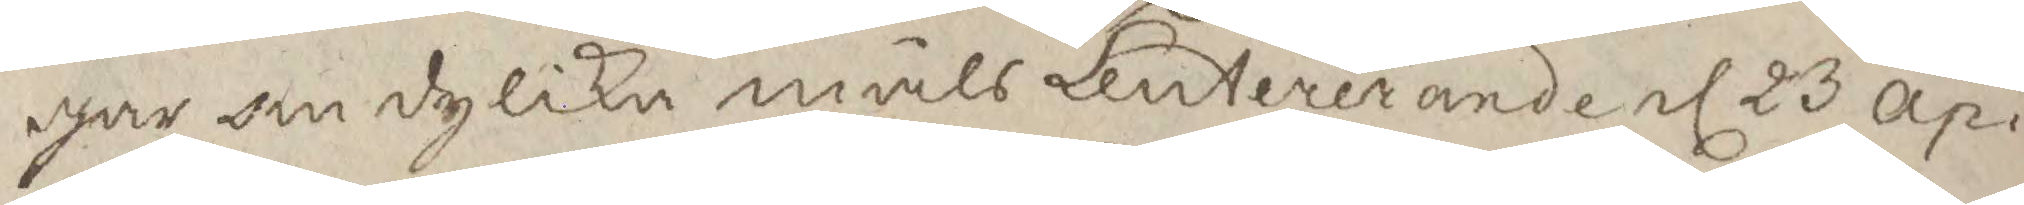gar om dylika måls Leutererande el 23 ap.
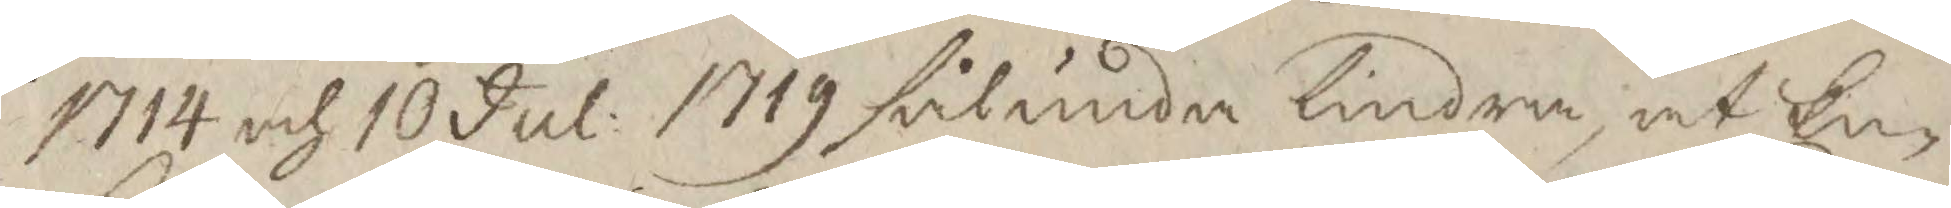1714 och 10 Jul: 1719 sålunda lindra, at En¬
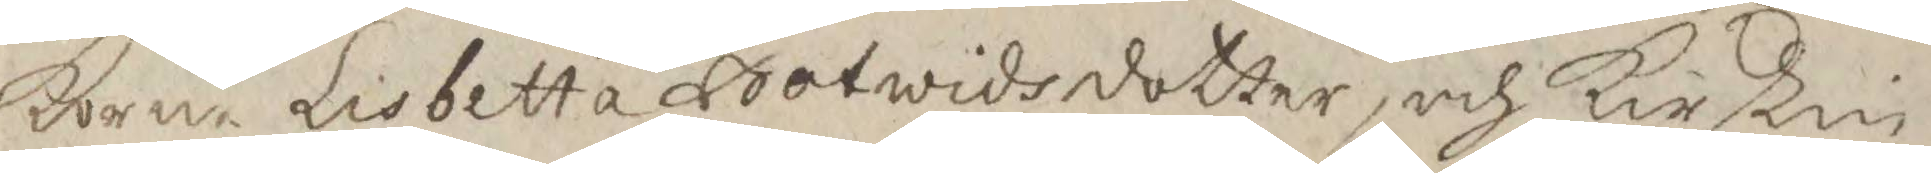korne Lisbetta Botwidsdotter, och Kirstin
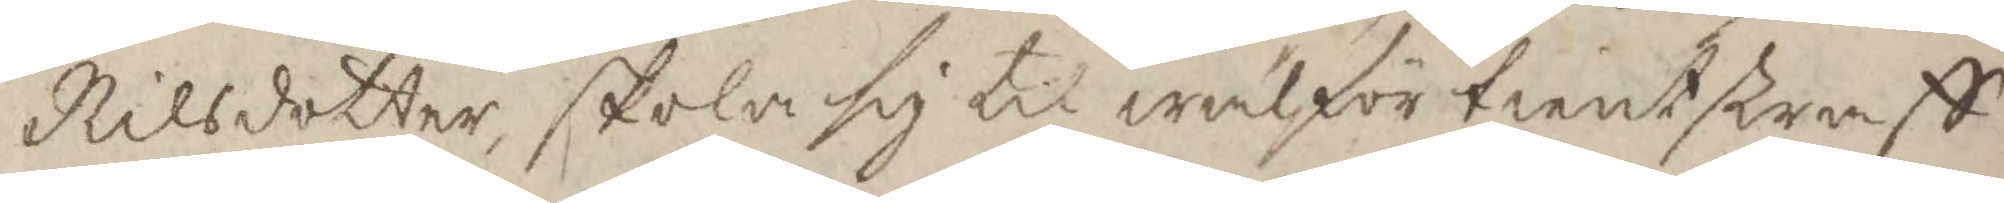Nilsdotter, skola sig til wälförtient straff
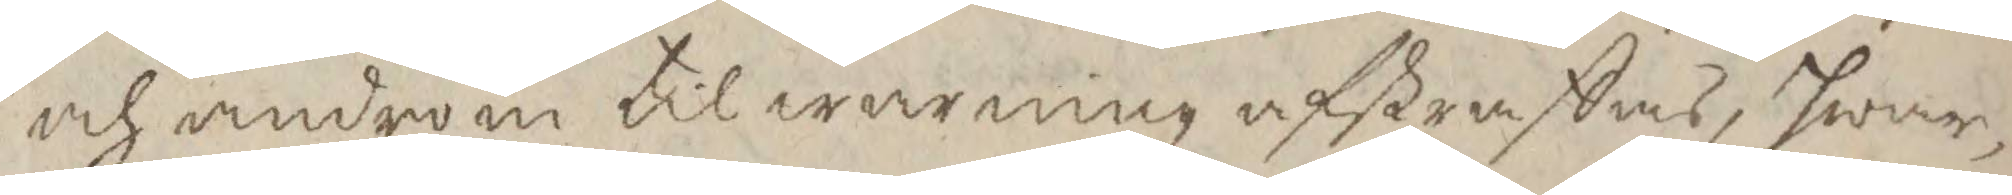och androm til warning afstraffas, hwar¬
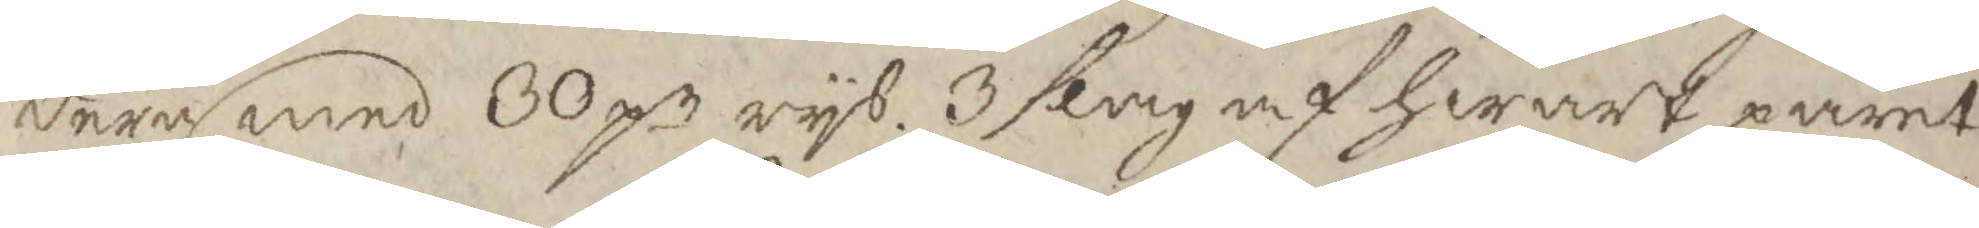dera med 30 pr rys, 3 slag af hwart paret
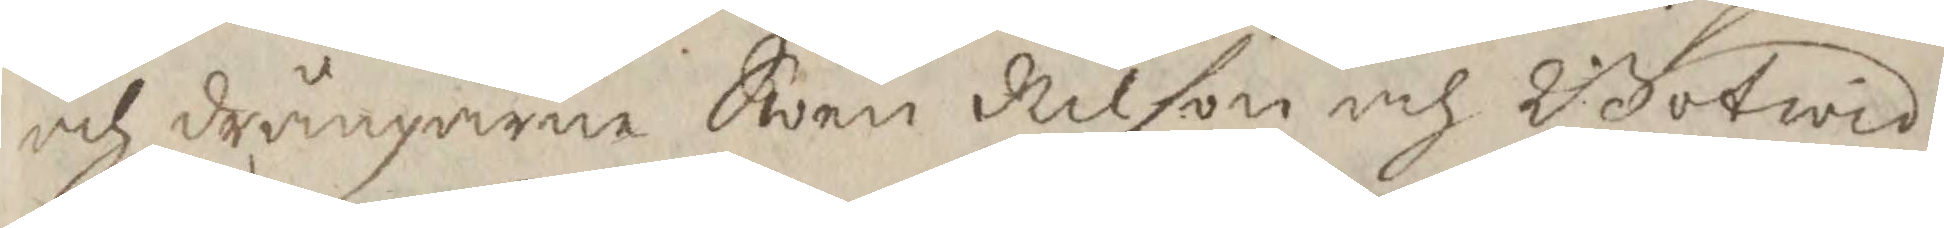och drängarne Swen Nilson och Botwid
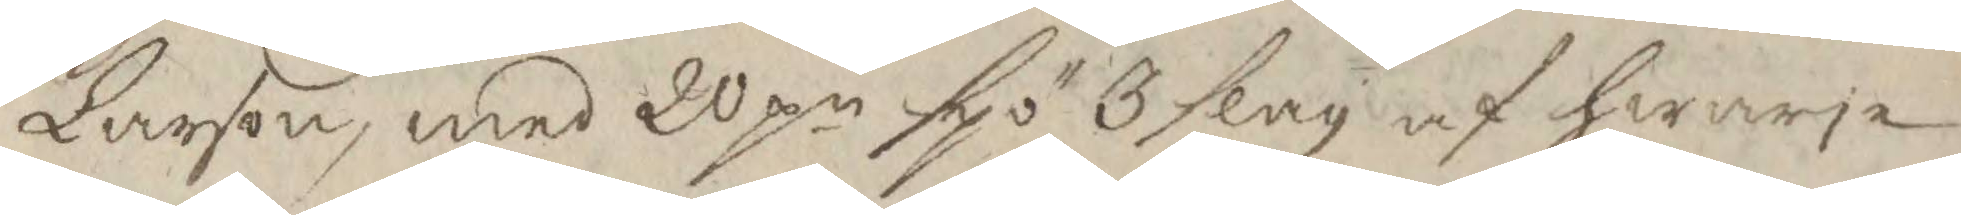Larson, med 20 pr spö 3 slag af hwarje
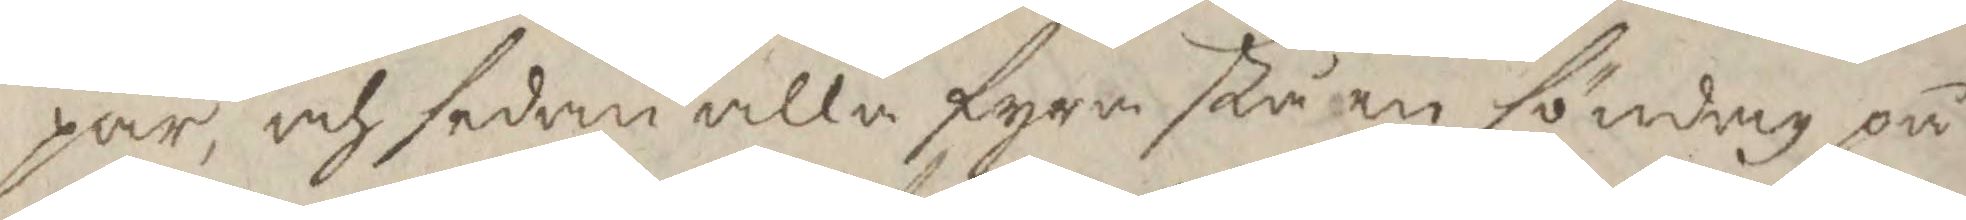par, och sedan alla fyra stå en söndag på
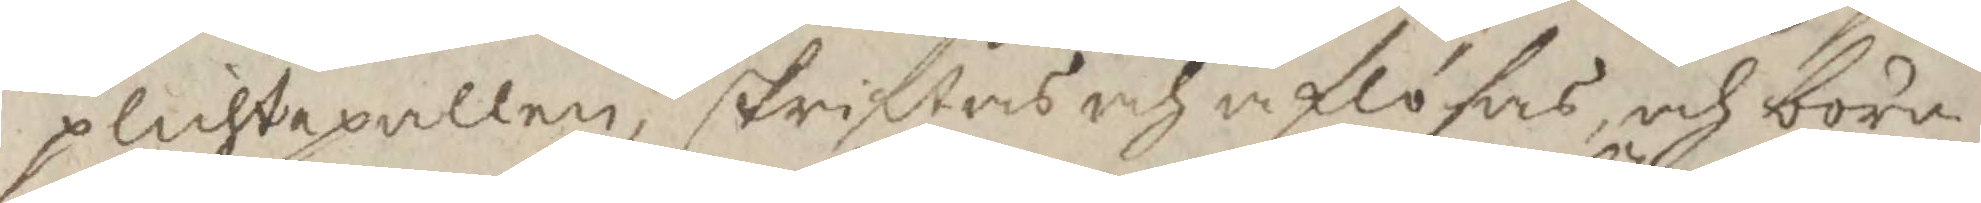plichtepallen, skriftas och aflösas, och böra
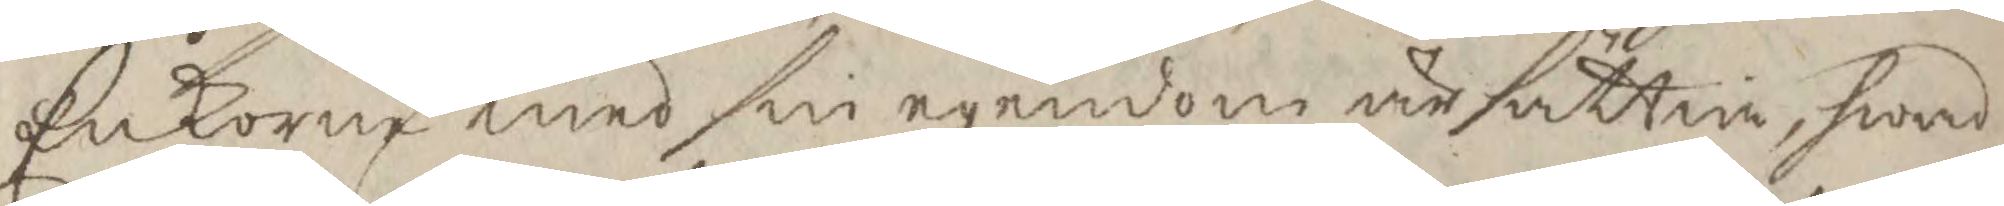Enkorne med sin egendom ärsättia, hwad
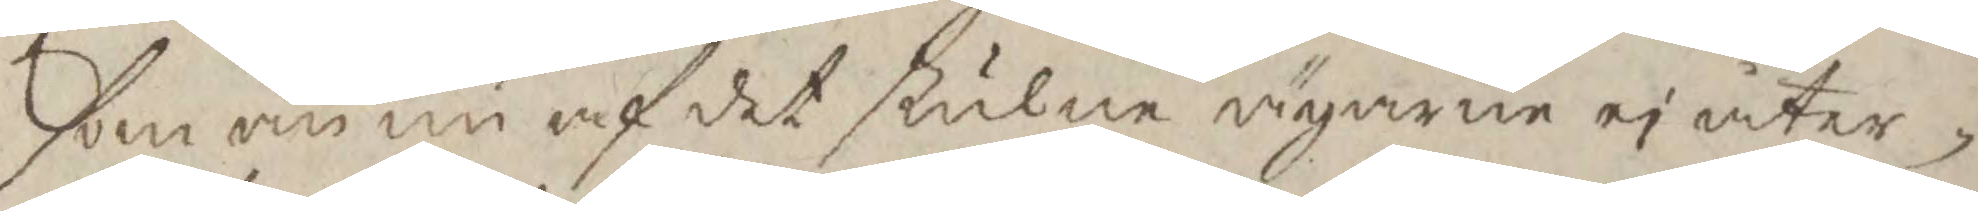som än nu af det stulne ägarne ei åter¬
